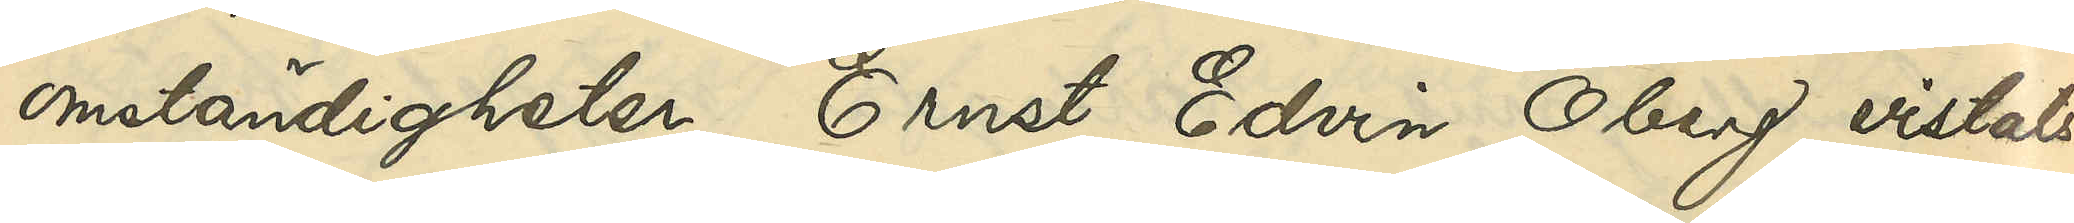omständigheter Ernst Edvin Öberg vistats
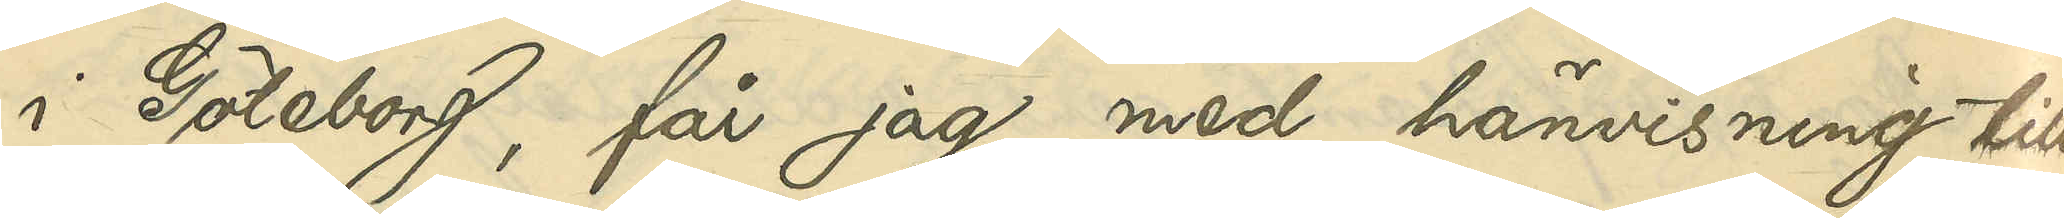i Göteborg, får jag, med hänvisning till
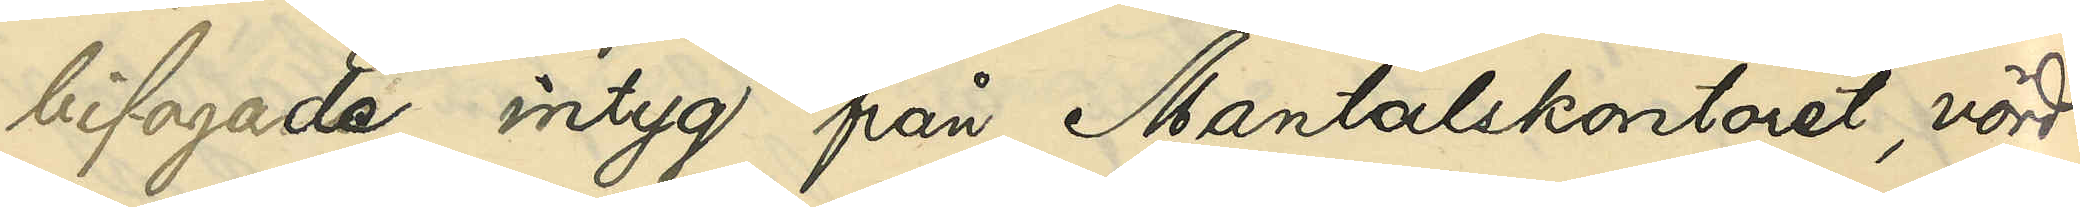bifogade intyg från Mantalskontoret, vörd¬
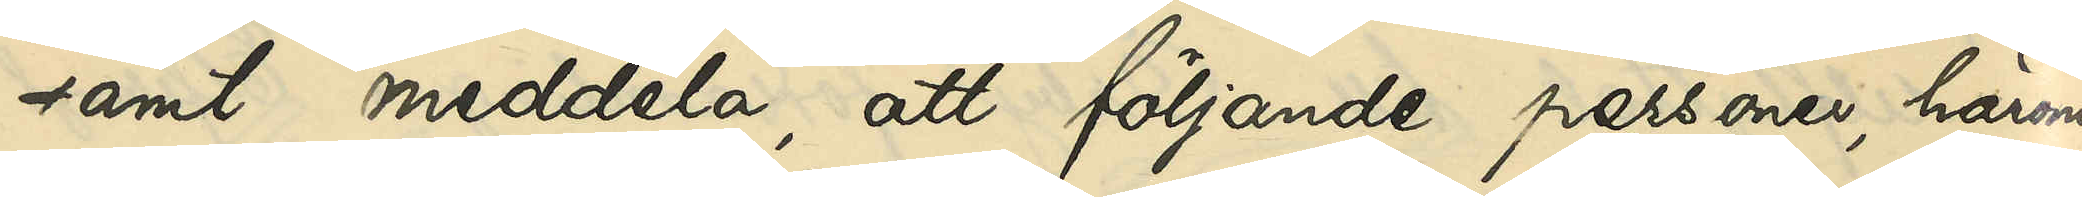samt meddela, att följande personer, härom
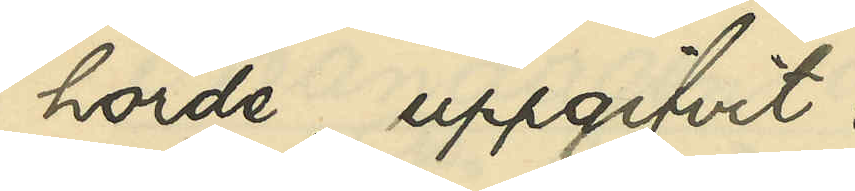hörde, uppgifvit:
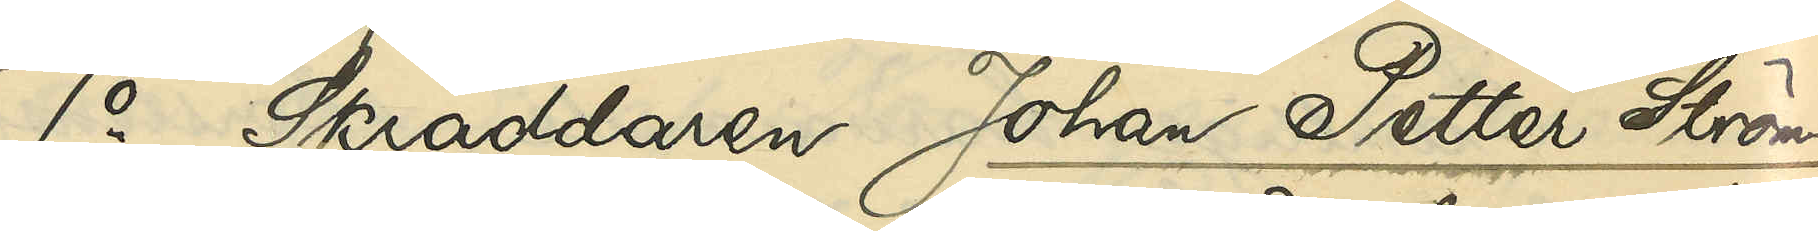1o Skräddaren Johan Petter Ström¬
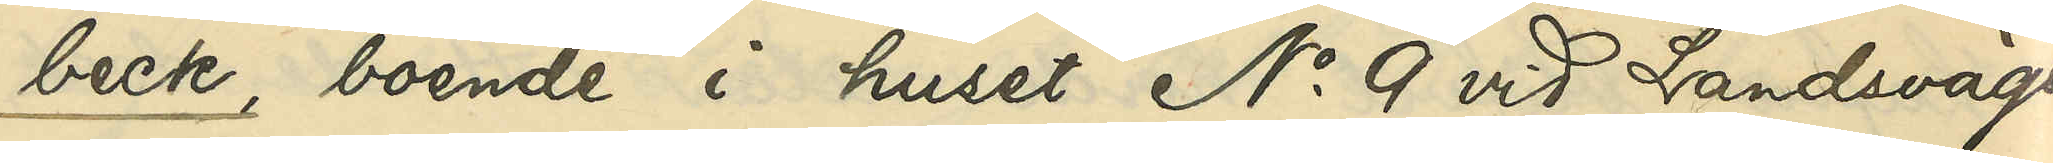beck, boende i huset No 9 vid Landsvägs¬
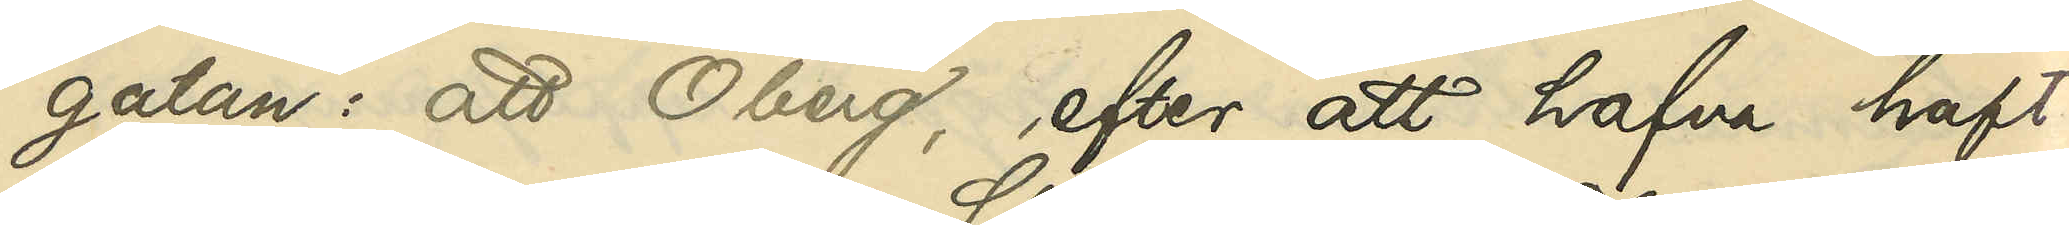gatan: att Öberg, efter att hafva haft
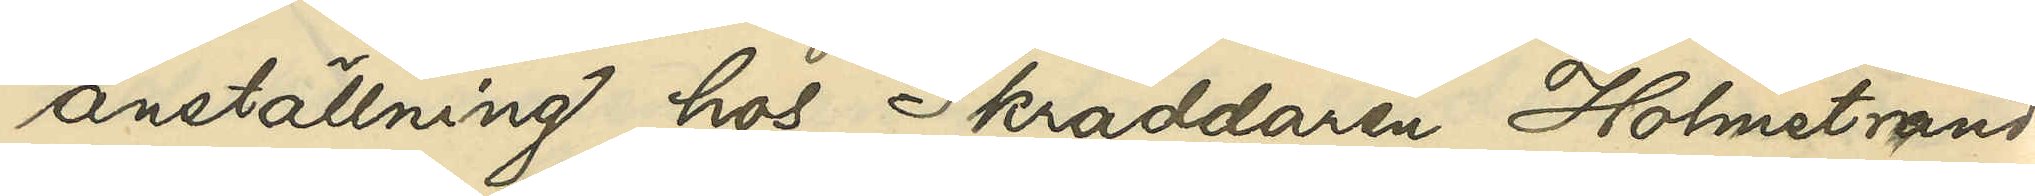anställning hos Skrädaren Holmstrand
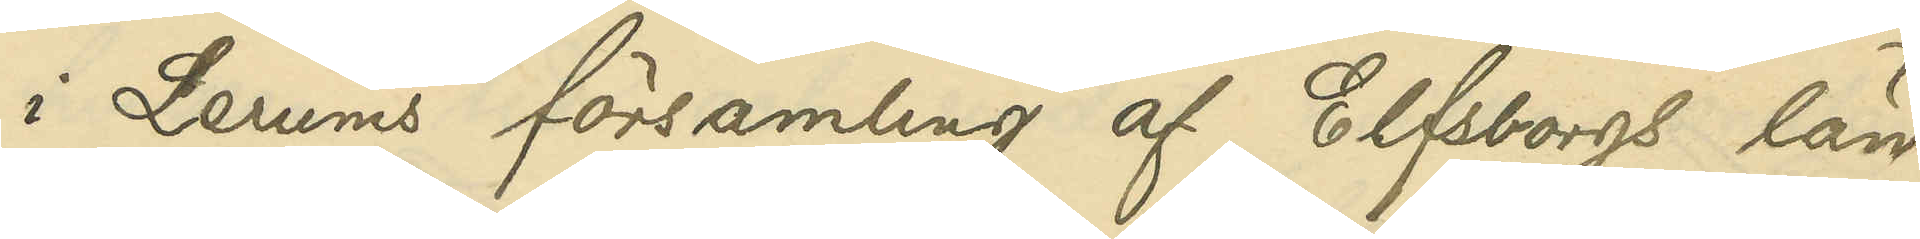i Lerums församling af Elfsborgs län,
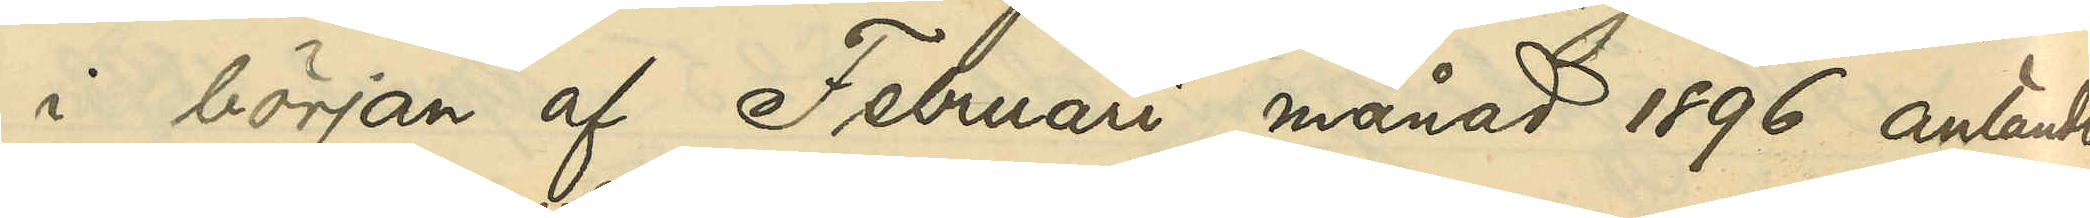i början af Februari månad 1896 anländt
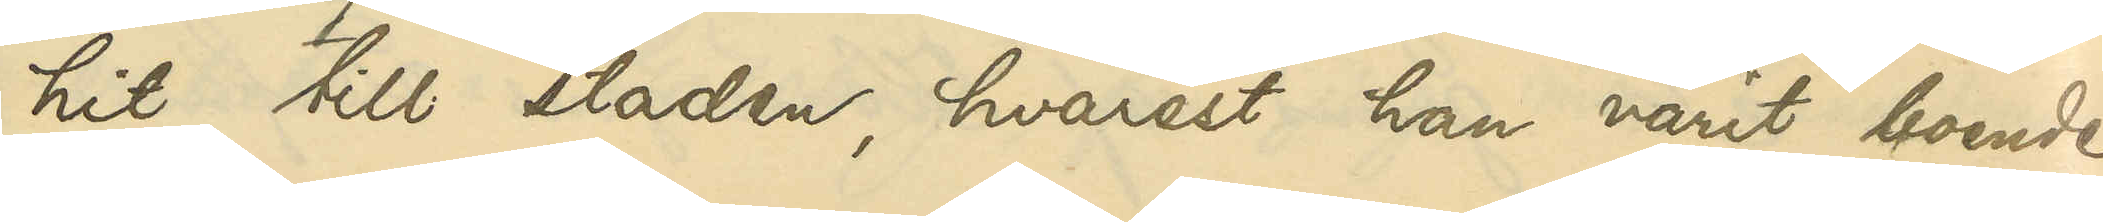hit till staden, hvarest han varit boende
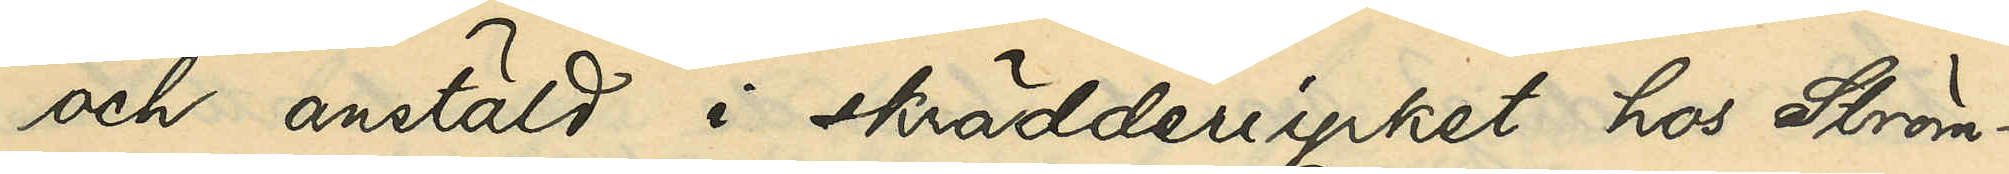och anstäld i skrädderiyrket hos Ström¬
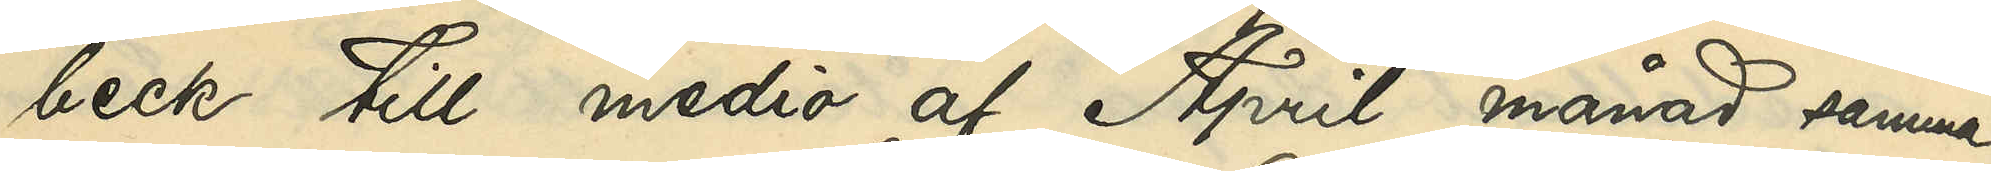beck till medio af April månad samma
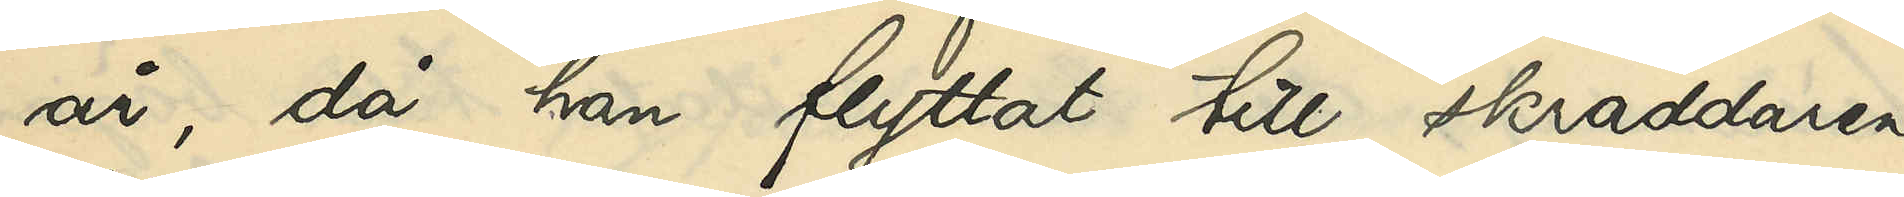år, då han flyttat till skräddaren
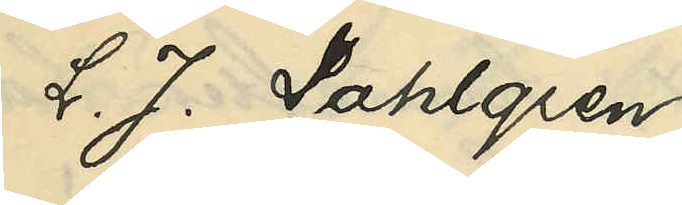L. J. Dahlgren;
